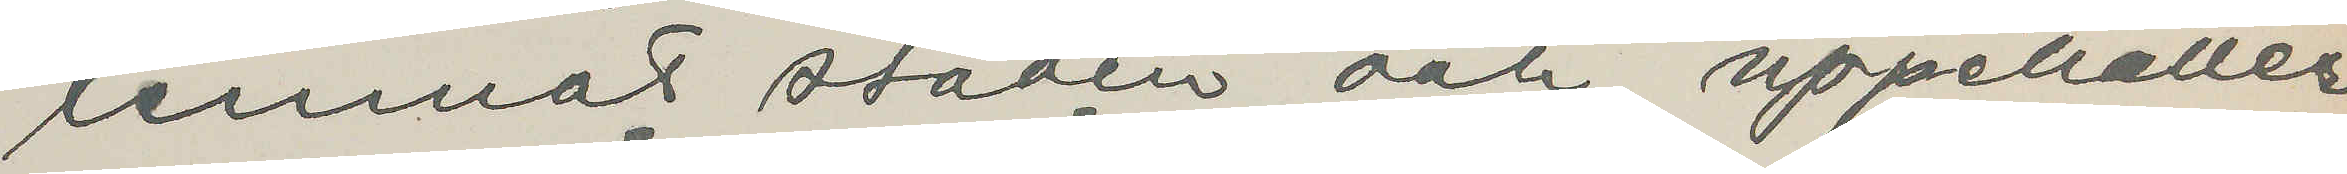lemnat staden och uppehåller
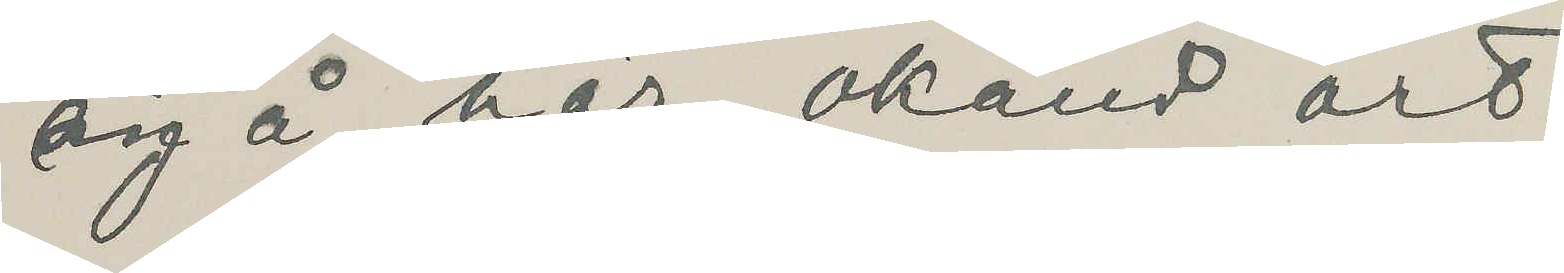sig å här okänd ort.
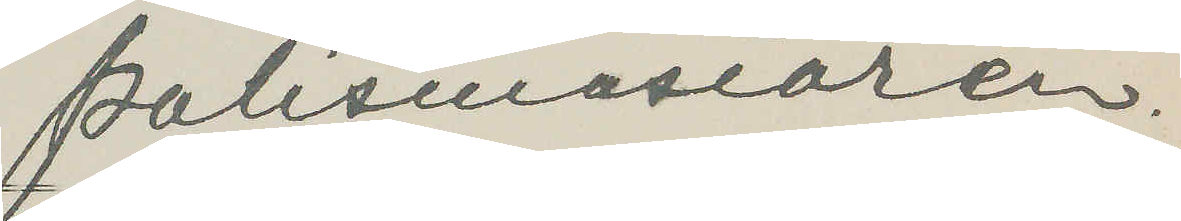Polismästaren.
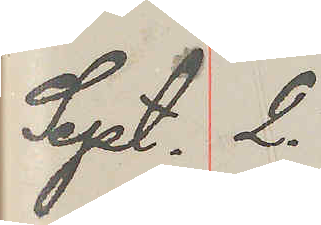Sept. 2.
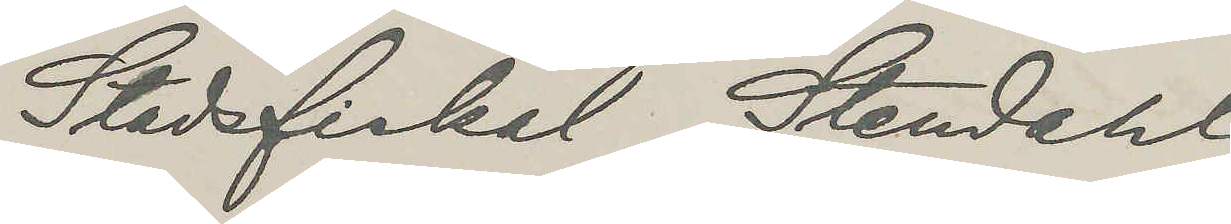Stadsfiskal Stendahl
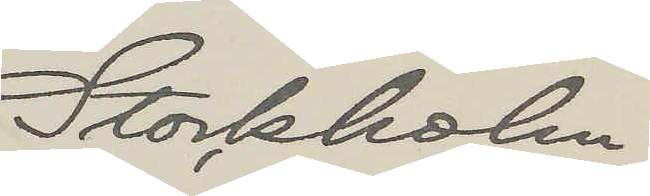Stockholm
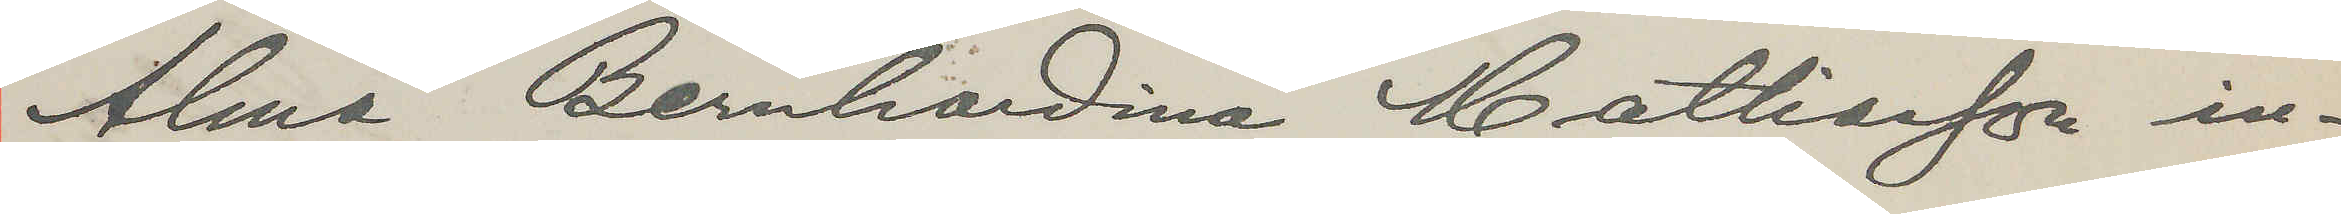Alma Bernhardina Mattiasson in¬
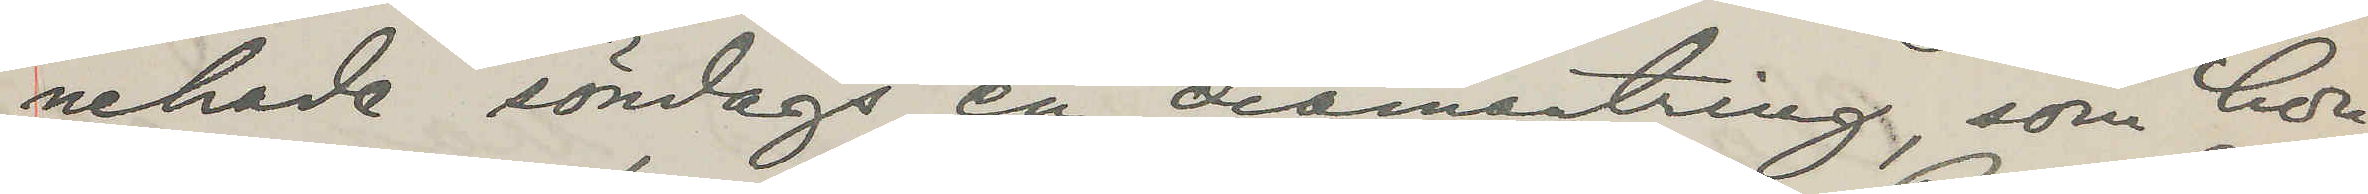nehade söndags en diamantring, som hon
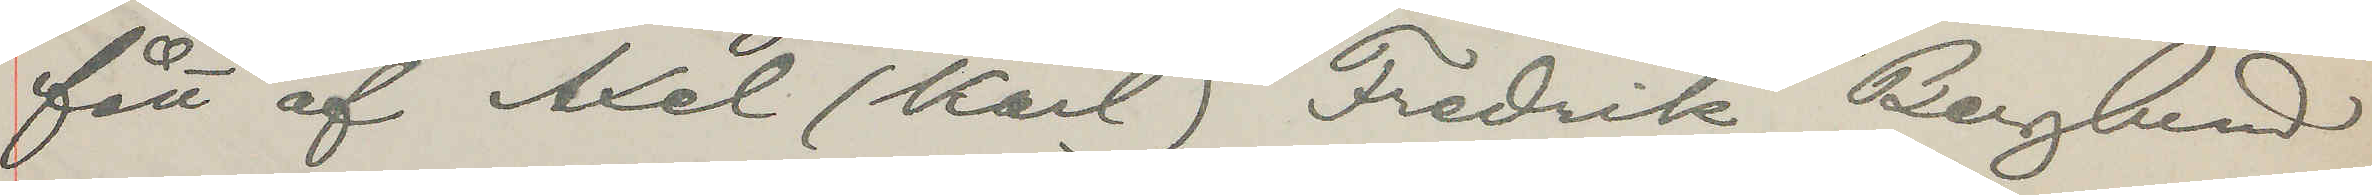fått af Axel (Karl) Fredrik Berglund
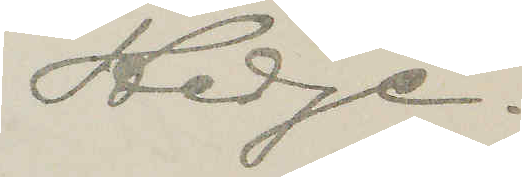Hedge.
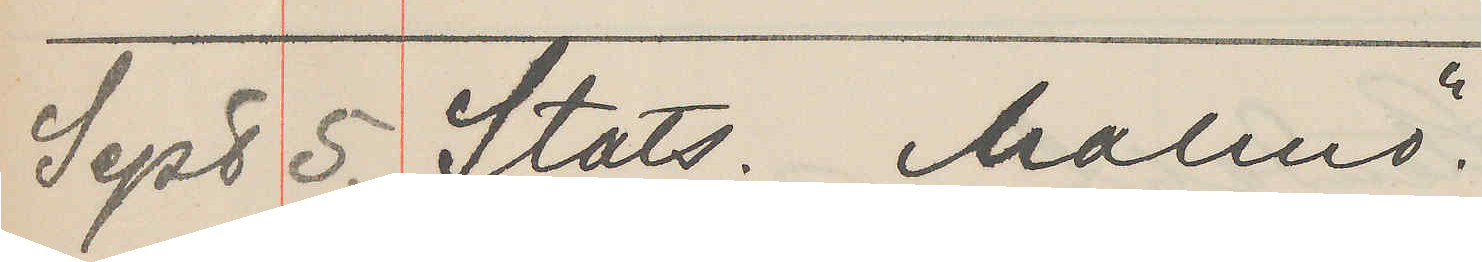Sept 5. Stats. Malmö.
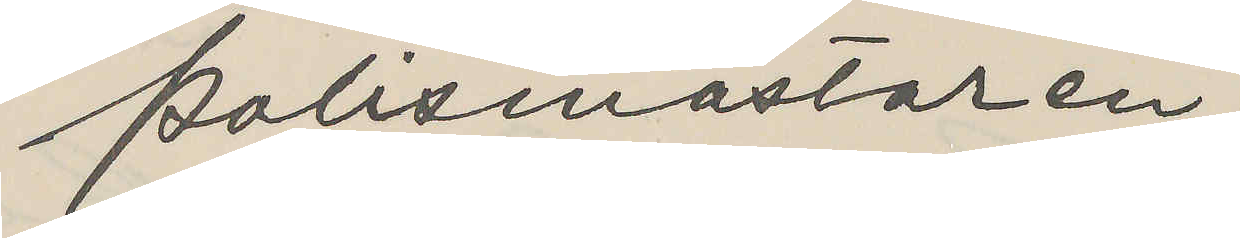Polismästaren,
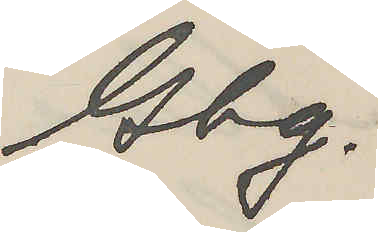Gbg.
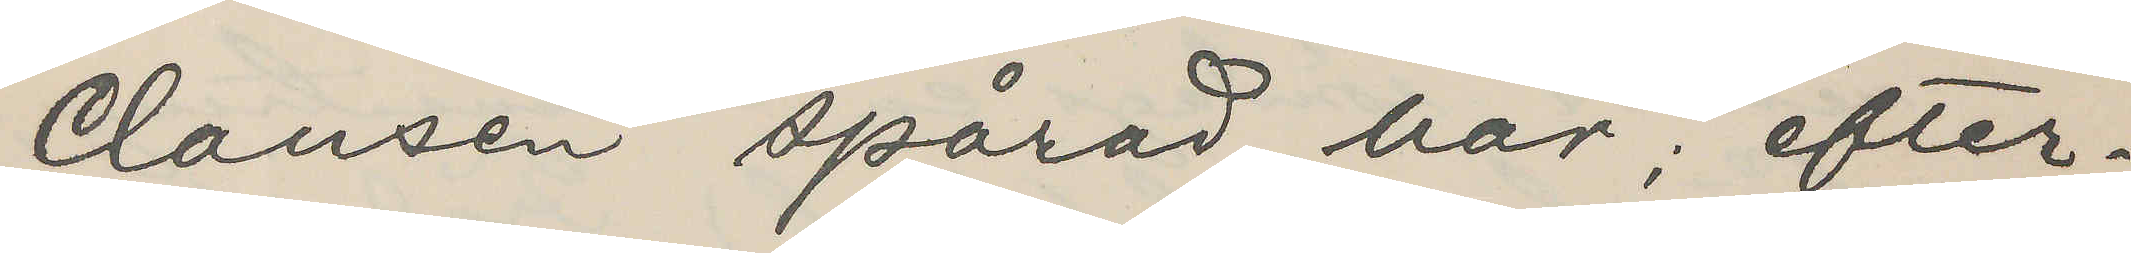Clausen spårad här; efter¬
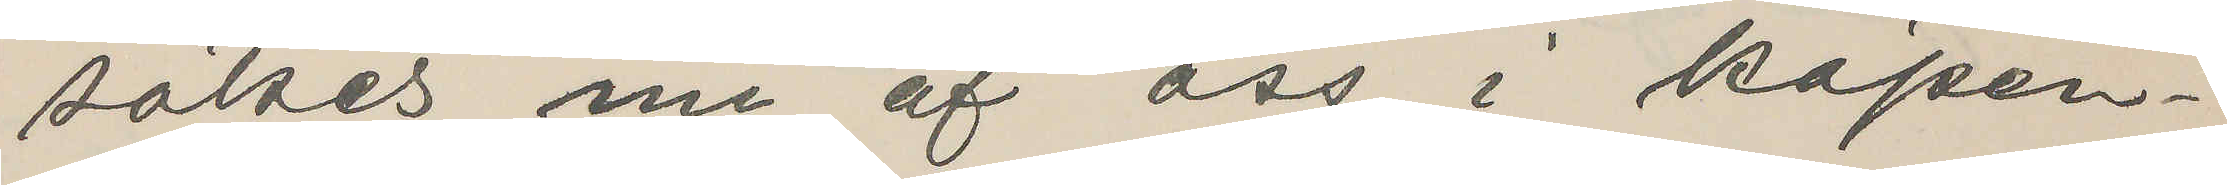sökes nu af oss i Köpen¬
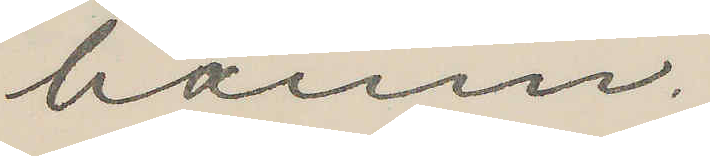hamn.
